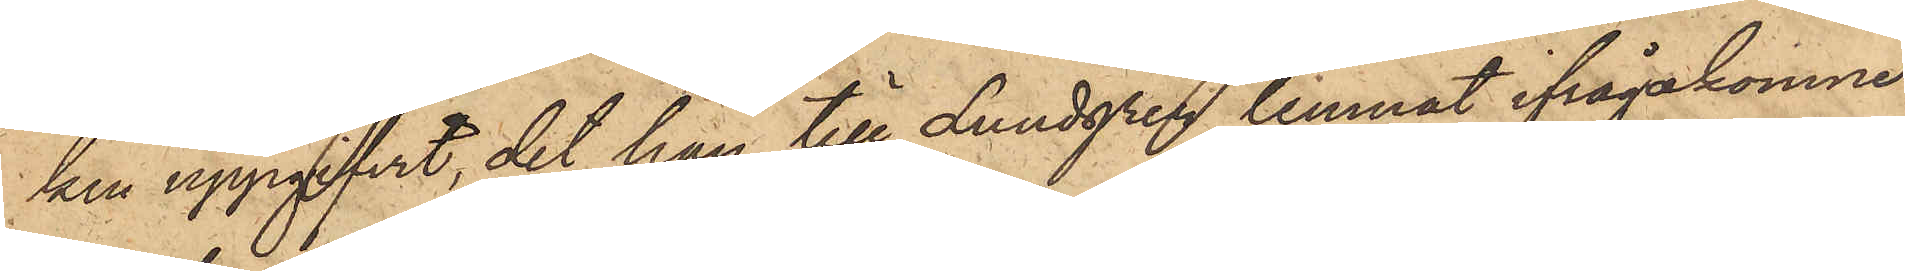ken uppgifvit, det han till Lundgren lemnat ifrågakomne
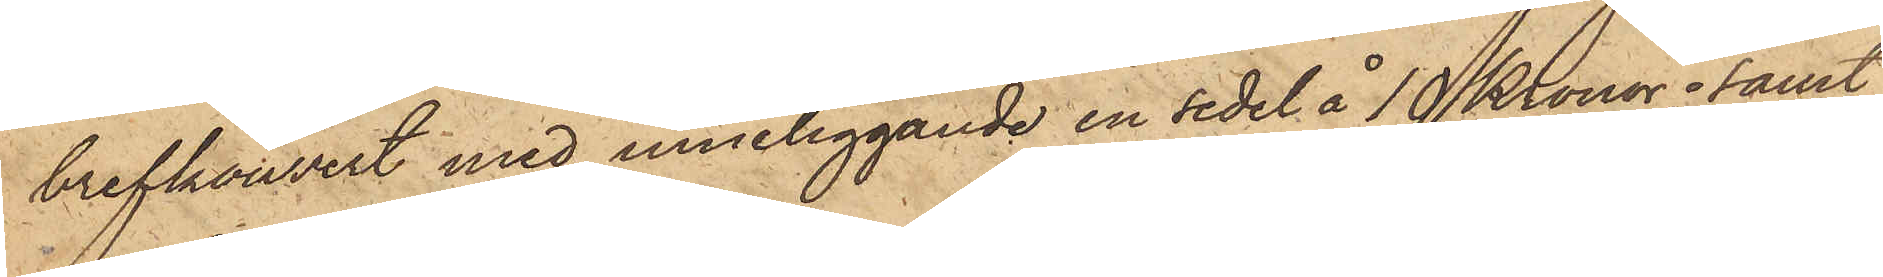brefkouvert med inneliggande en sedel å 10 Kronor; samt
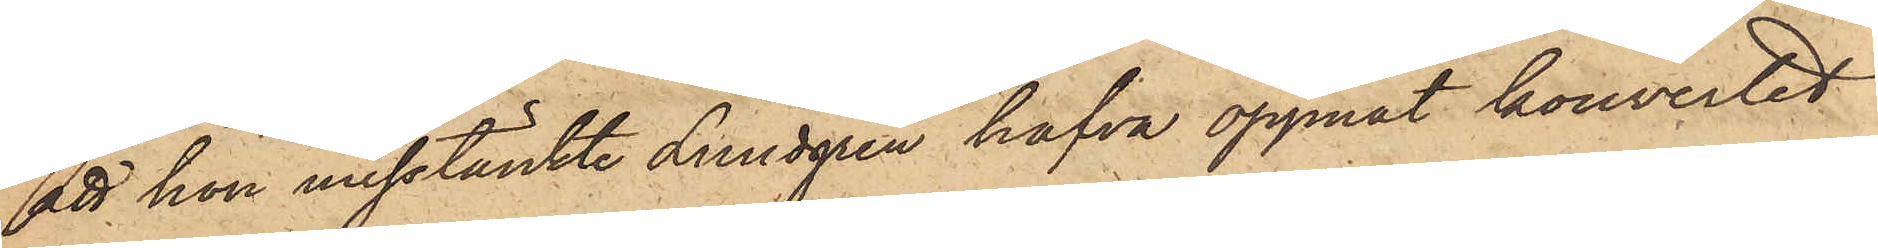att hon misstänkte Lundgren hafva öppnat kouvertet
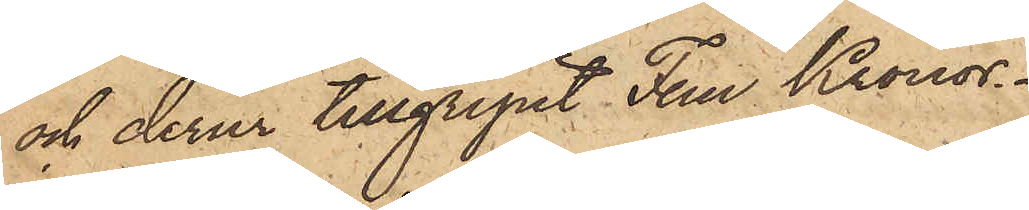och derur tillgripit Fem Kronor.
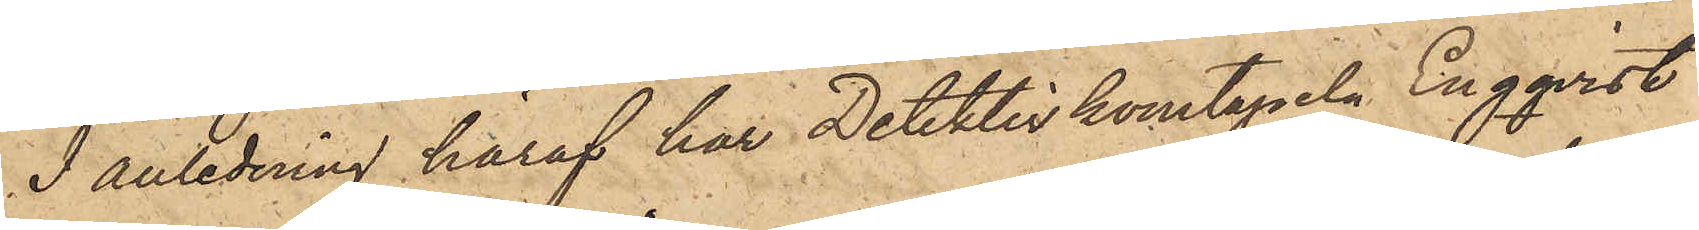I anledning häraf har Detektivkonstapeln Engqvist
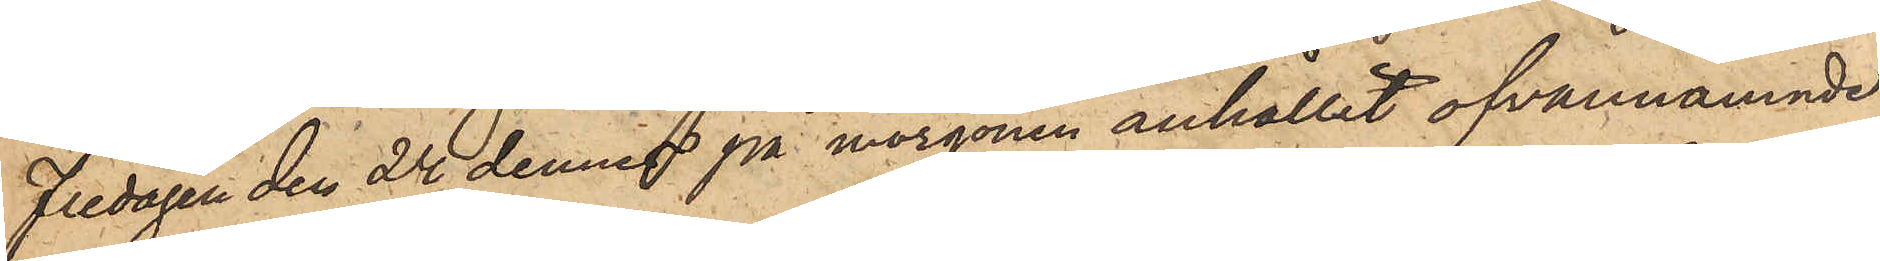fredagen den 24 dennes på morgonen anhållit ofvannämnde
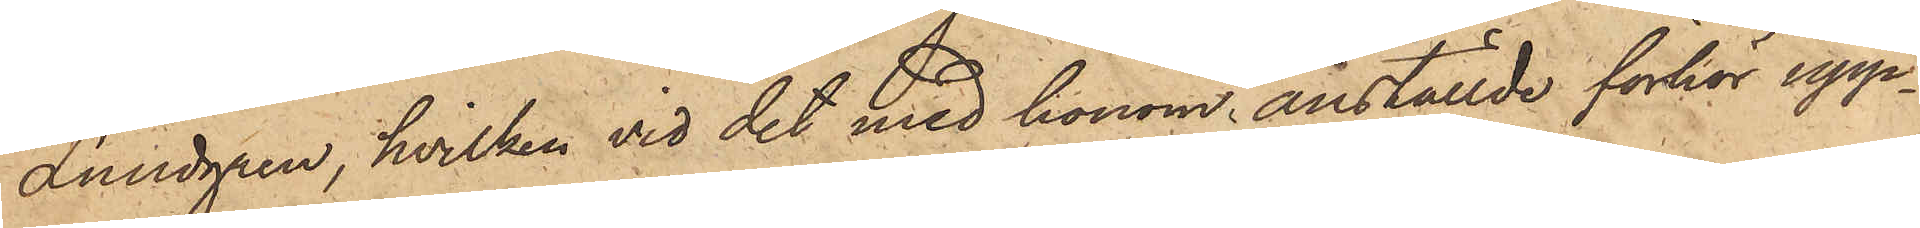Lundgren, hvilken vid det med honom anställde förhör upp¬
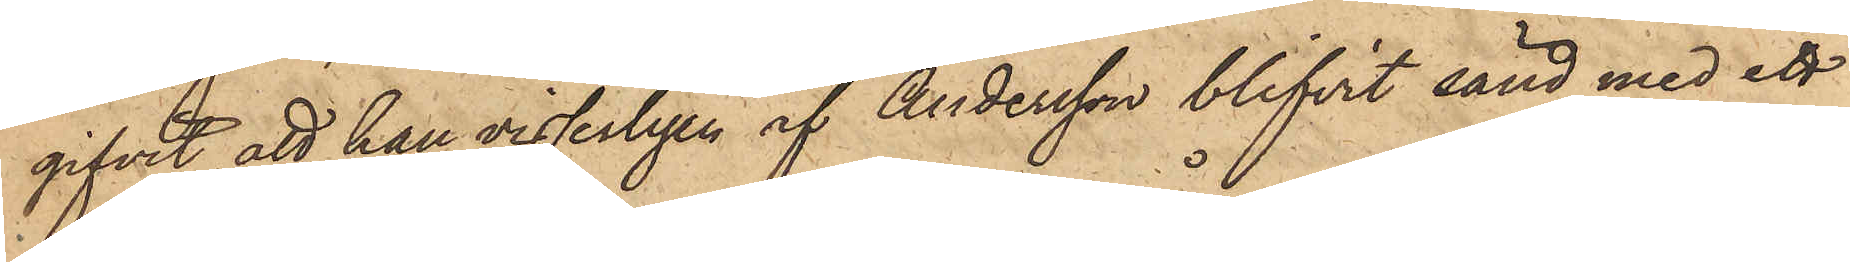gifvit, att han visserligen af Andersson blifvit sänd med ett
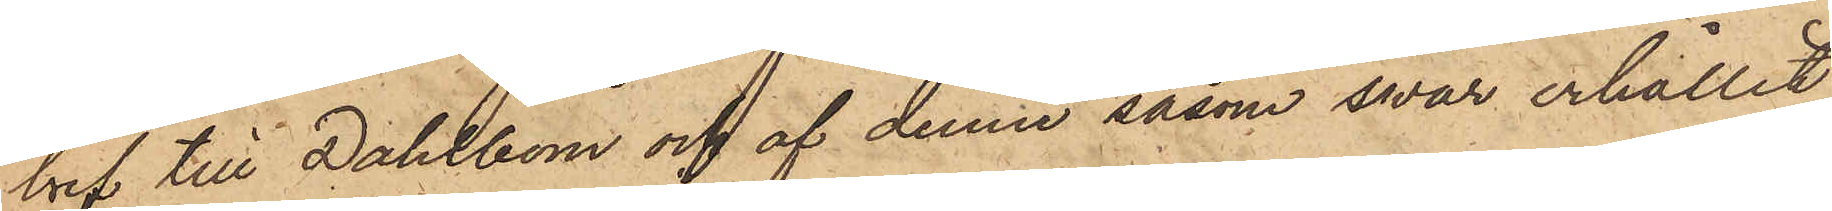bref till Dahlbom och af denne såsom svar erhållit
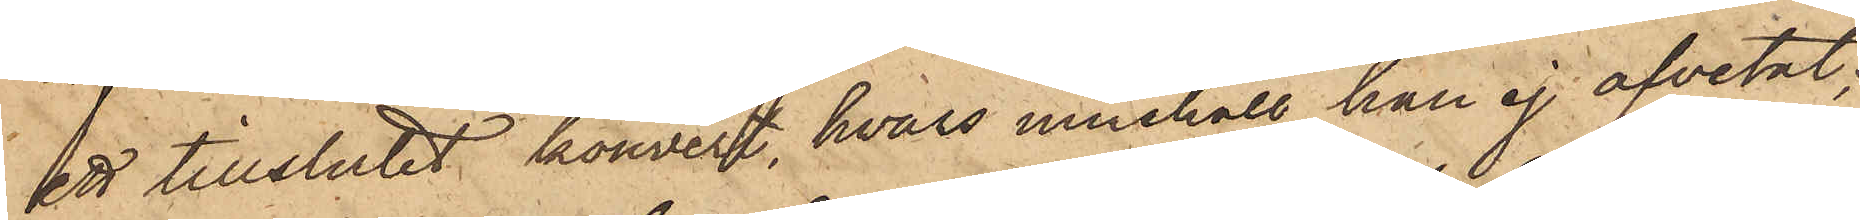ett tillslutet kouvert, hvars innehåll han ej afvetat;
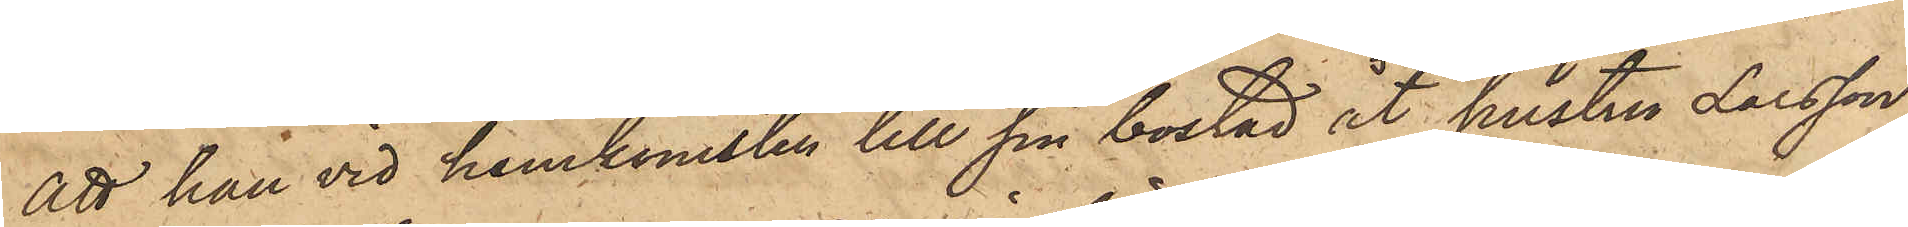att han vid hemkomsten till sin bostad åt hustru Larsson
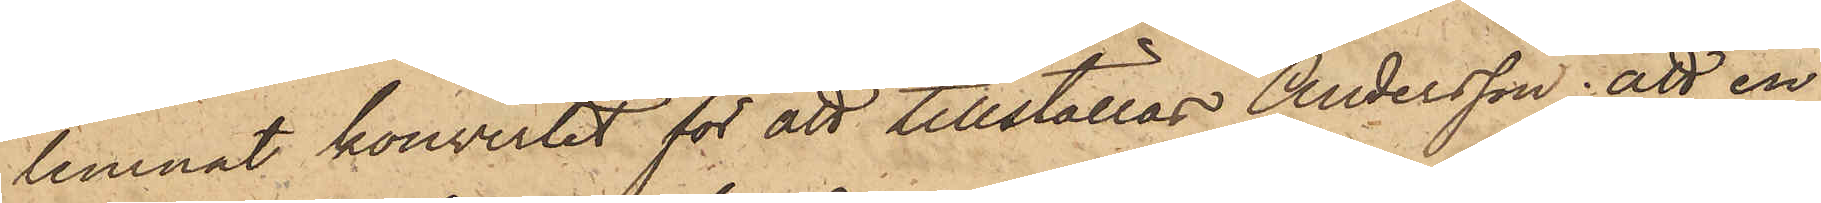lemnat kouvertet för att tillställas Andersson; att en
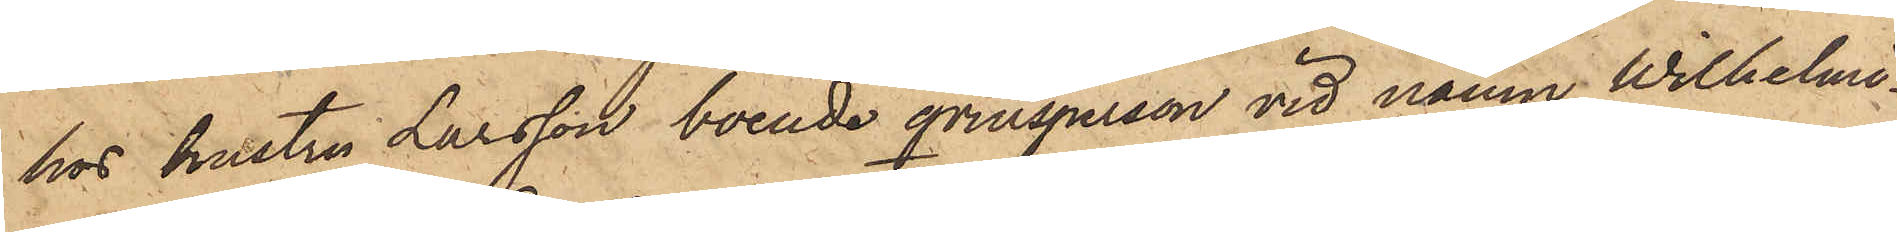hos hustru Larsson boende qvinsperson vid namn Wilhelmi¬
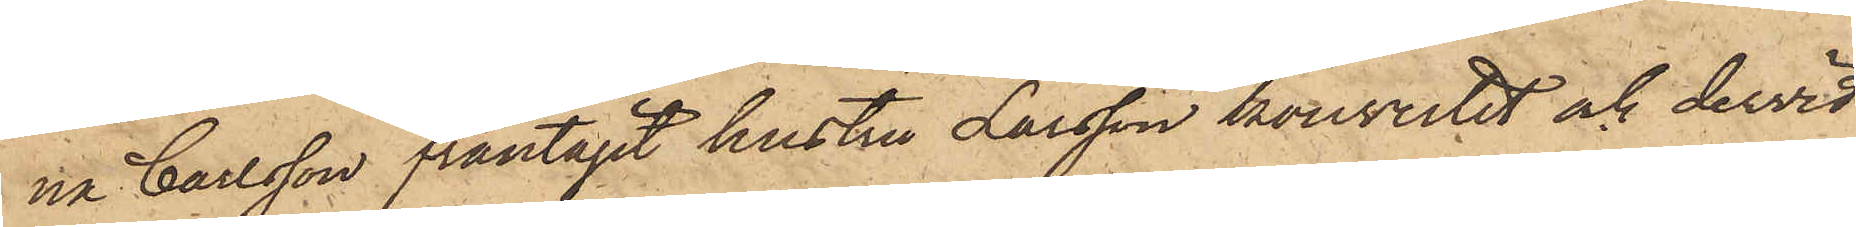na Carlsson fråntagit hustru Larsson kouvertet och dervid
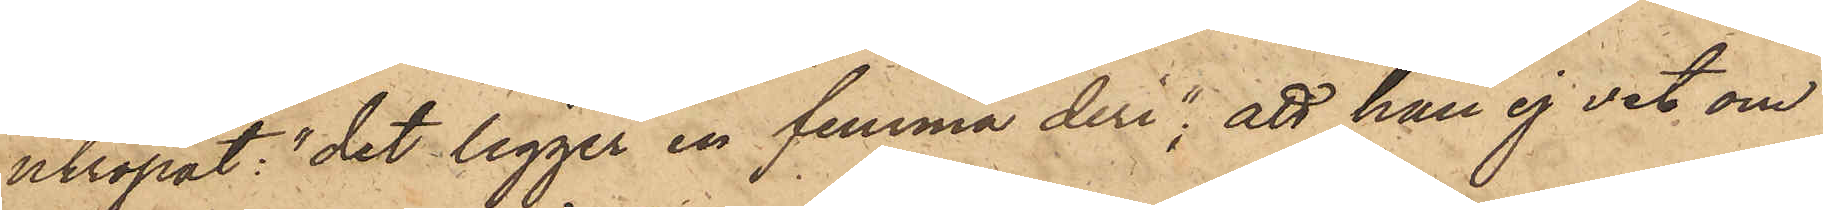utropat: "det ligger en femma deri"; att han ej vet om
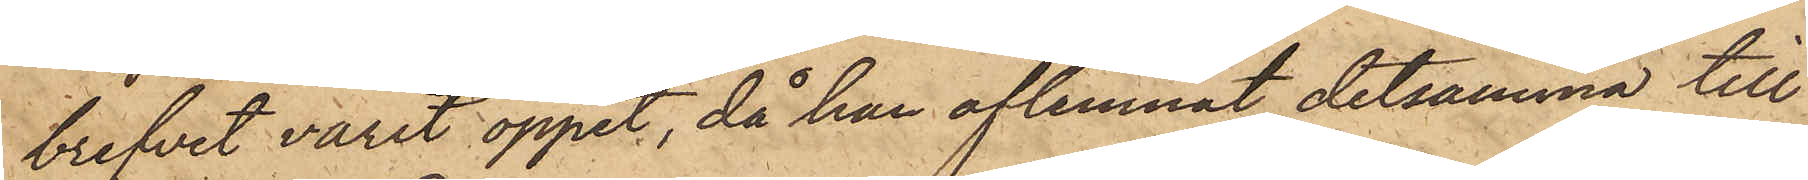brefvet varit öppet, då han aflemnat detsamma till
